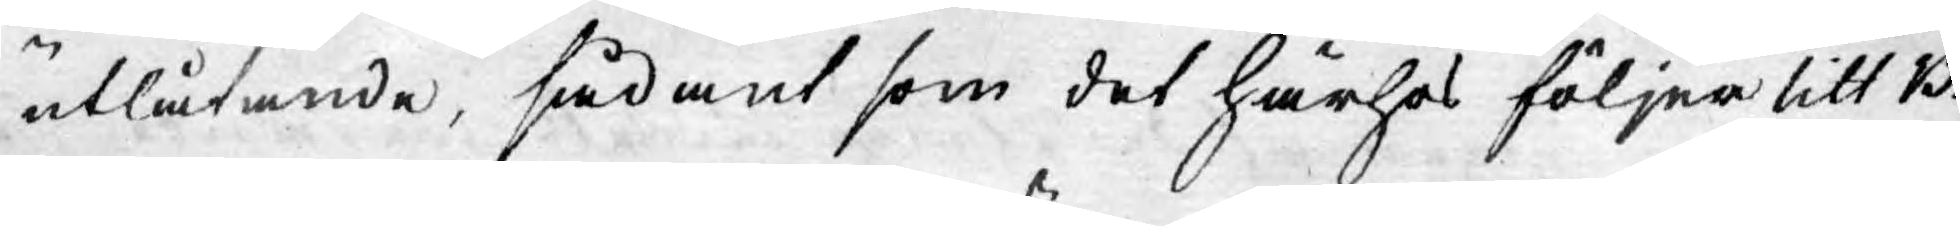utlåtande, sådant som det härhos följer litt B.
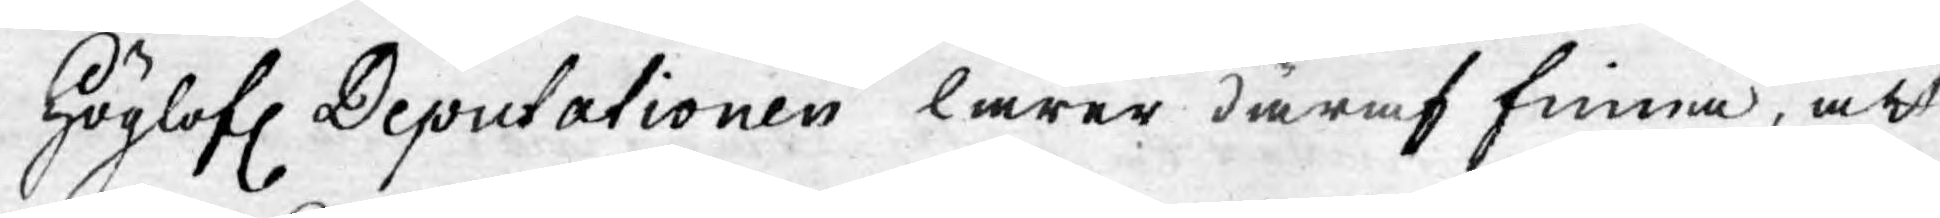Höglofl. Deputationen lärer däraf finna, att
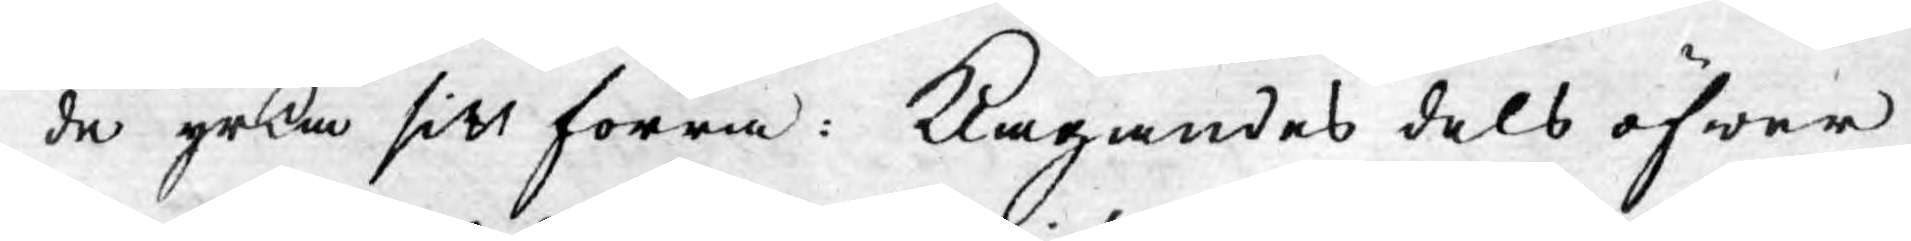de yrka sitt förra: klagandes dels öfwer
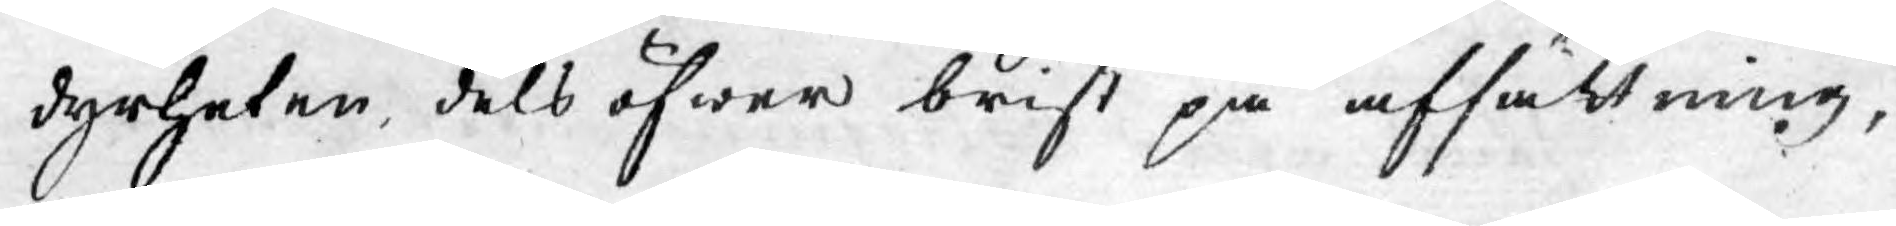dyrheten, dels öfwer brist på afsättning,
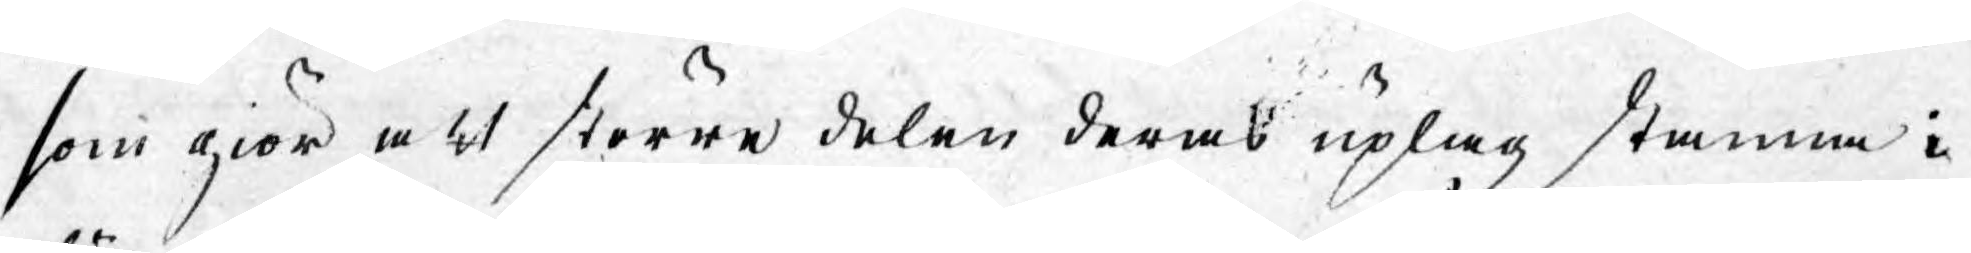som giör att större delen deras uplaga kommer i
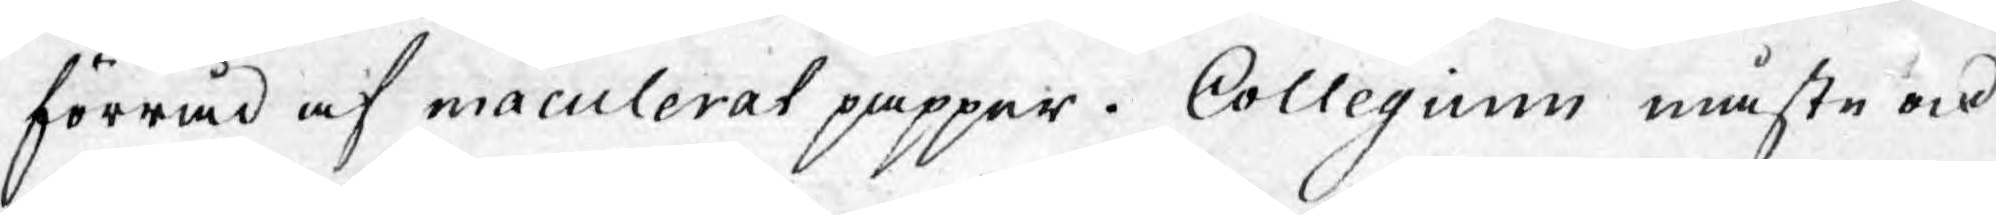förråd af maculerat papper. Collegium måste ock
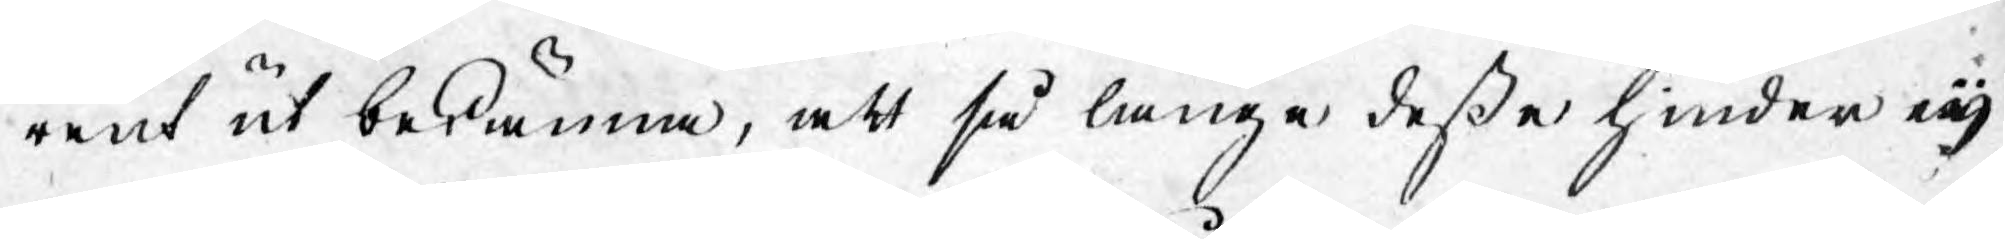rent ut bekänna, att så länge deßa hinder eij
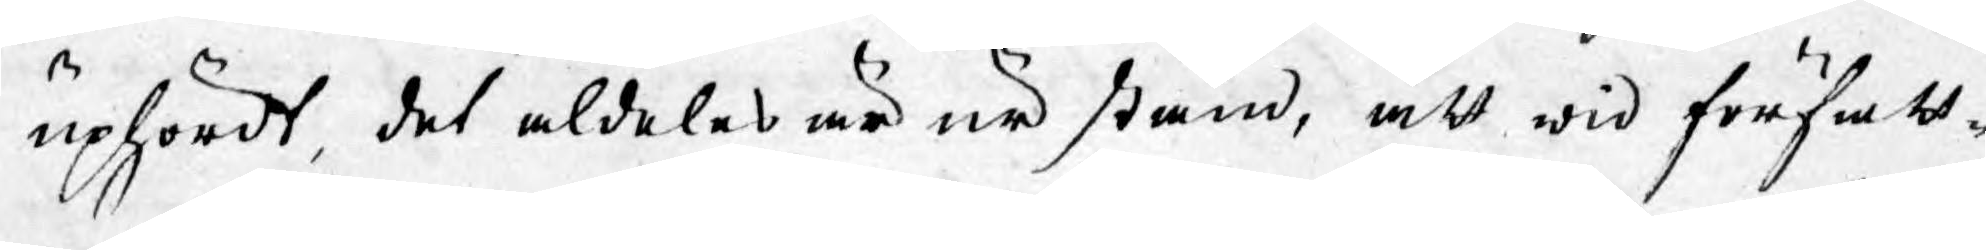uphördt, det aldeles är ur stånd, att wid författ¬
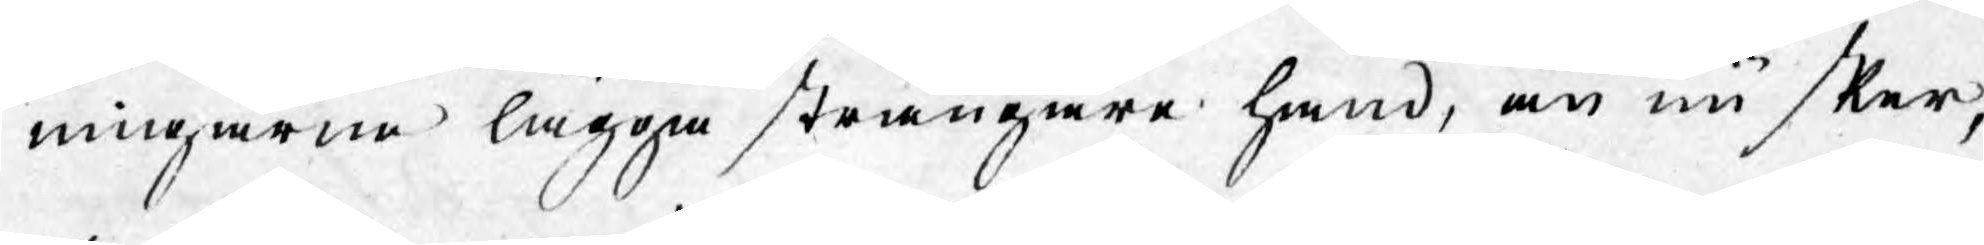ningarne lägga strängare hand, än nu sker,
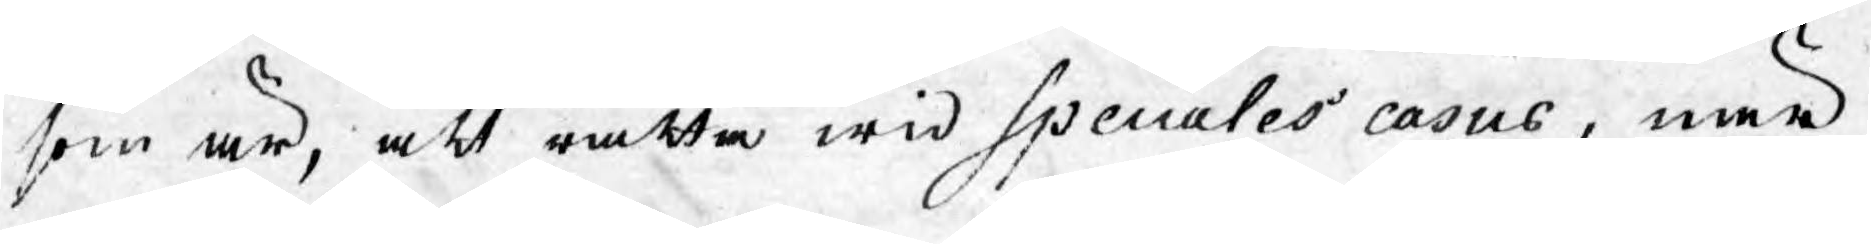som är, att rätta wid speciales casus, när
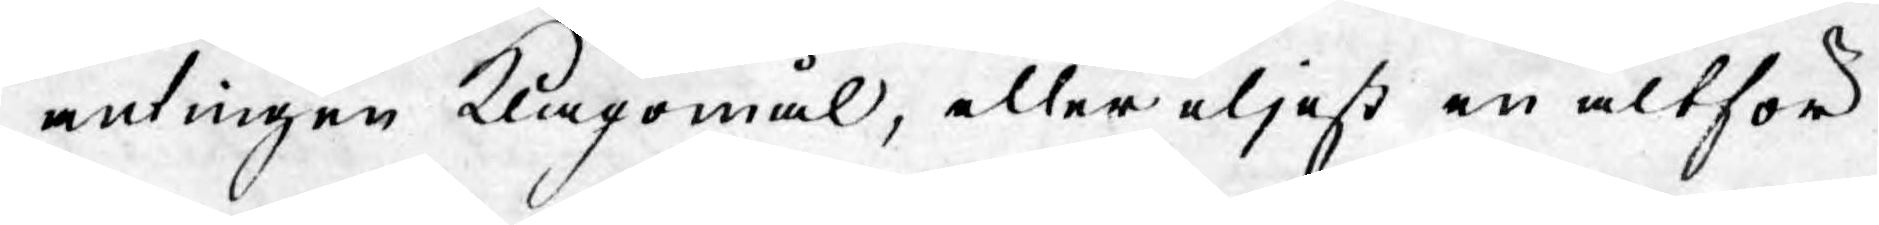antingen klagomål, eller eljest en altför
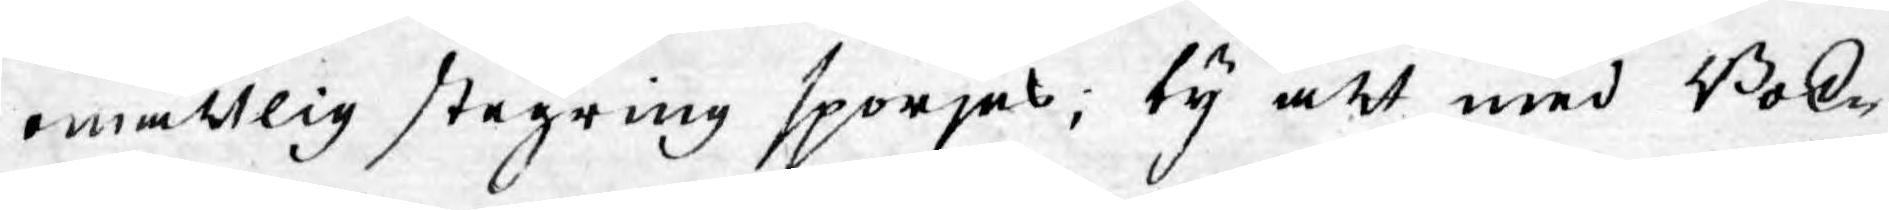omåttlig stegring spörjes; ty att med Bok¬
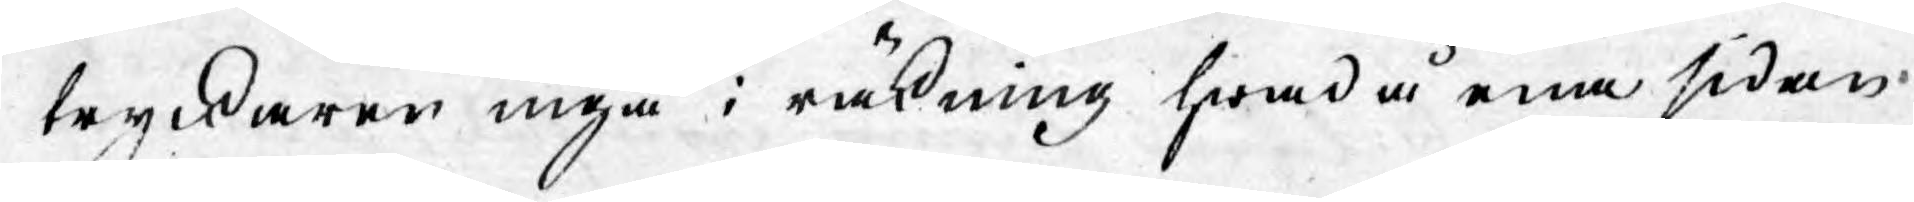tryckaren ingå i räkning hwad å ena sidan
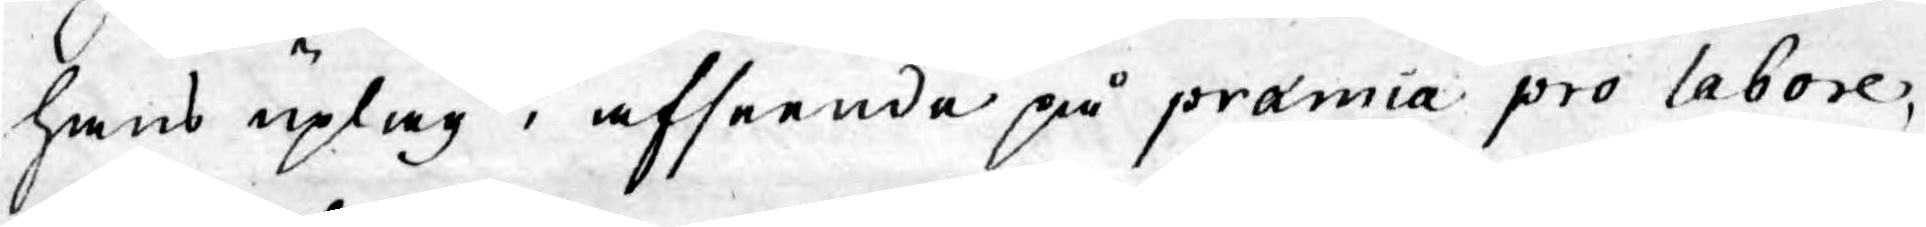hans uplag i afseende på præmia pro labore,
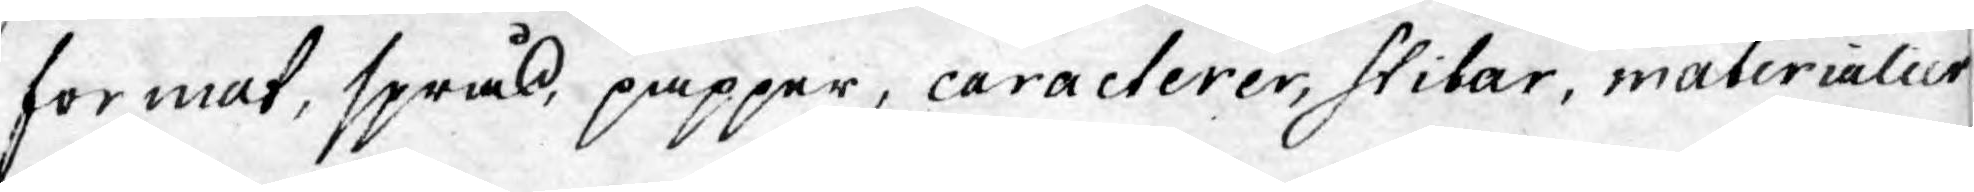format, språk, papper, caracterer, stilar, materialier,
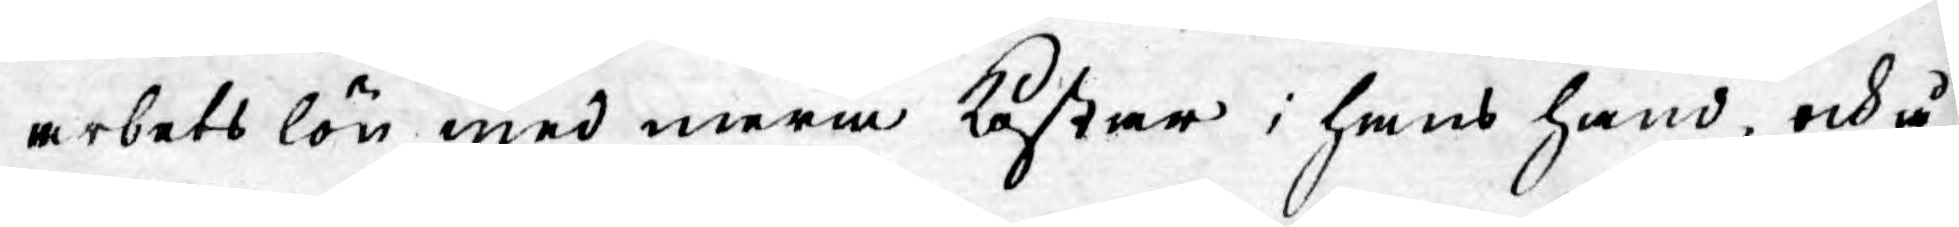arbetslön med mera kostar i hans hand, ock å
